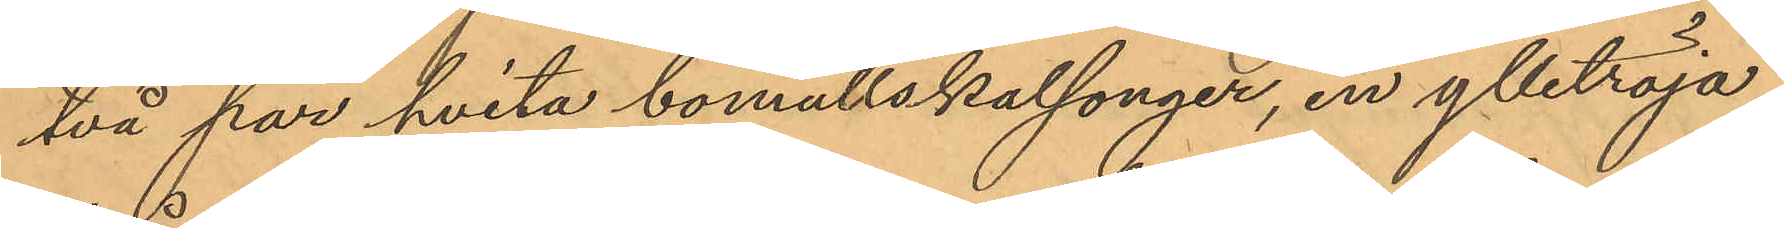två par hvita bomullskalsonger, en ylletröja,
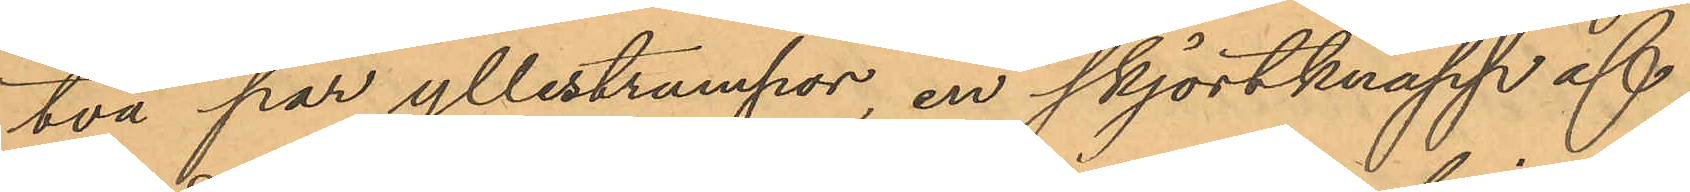två par yllestrumpor, en skjortknapp af
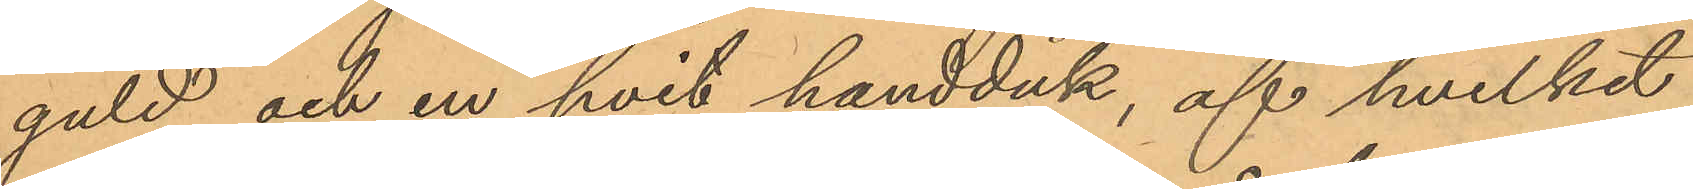guld och en hvit handduk, af hvilket
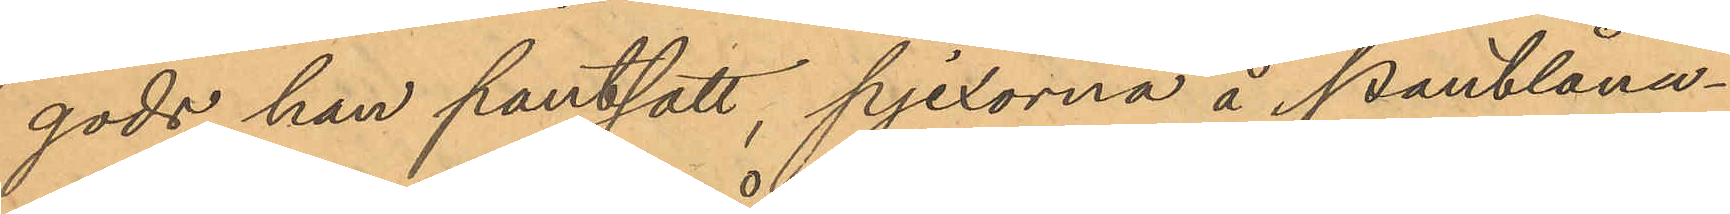gods han pantsatt, pjexorna å Pantlåna¬
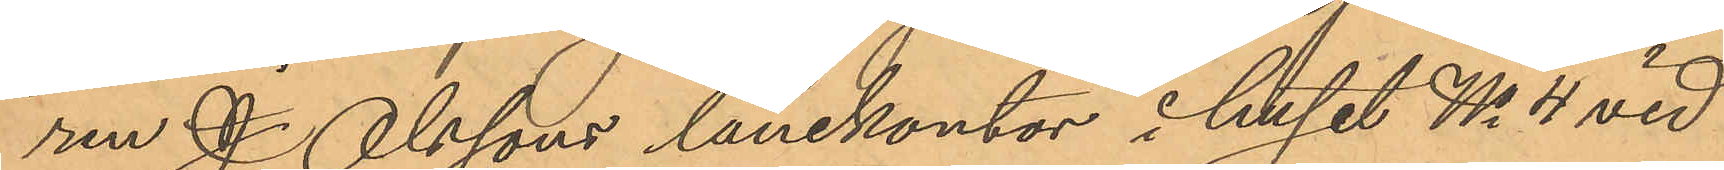ren J. Olssons lånekontor i huset No 4 vid
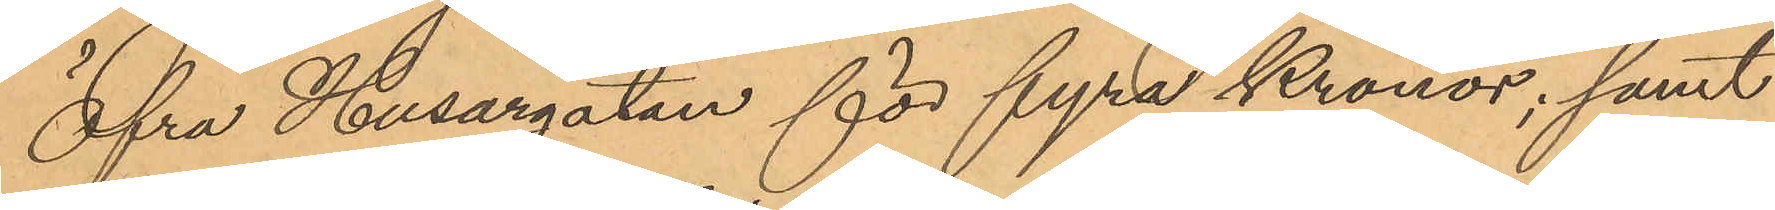Öfra Husargatan för fyra Kronor; samt
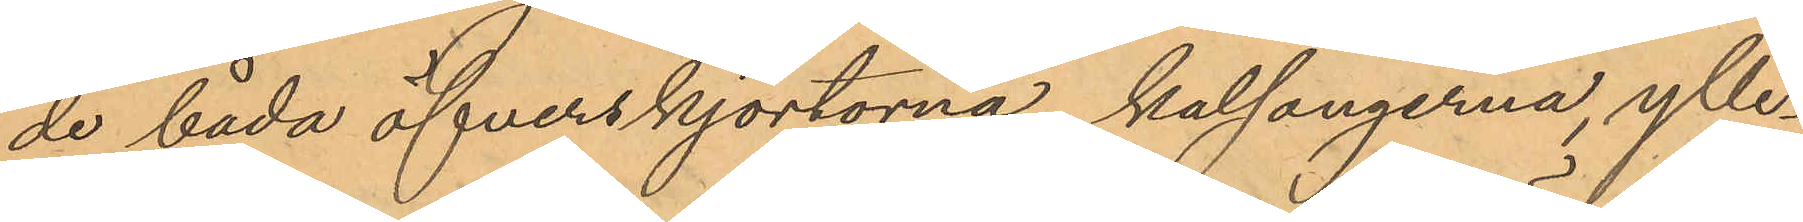de båda öfverskjortorna, kalsongerna, ylle¬
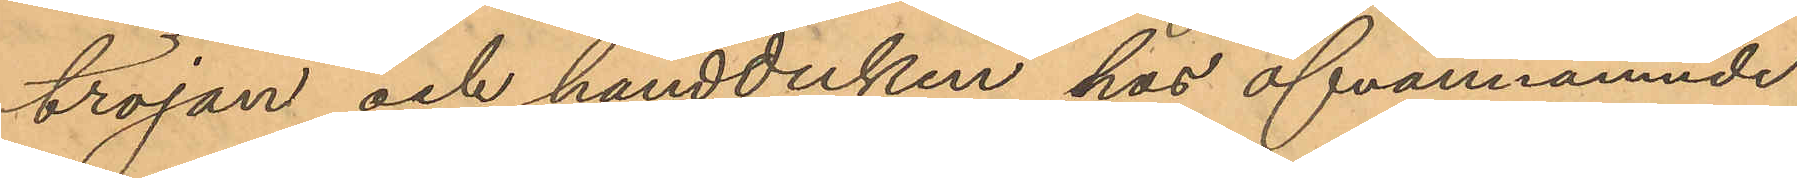tröjan och handduken hos ofvannämnde
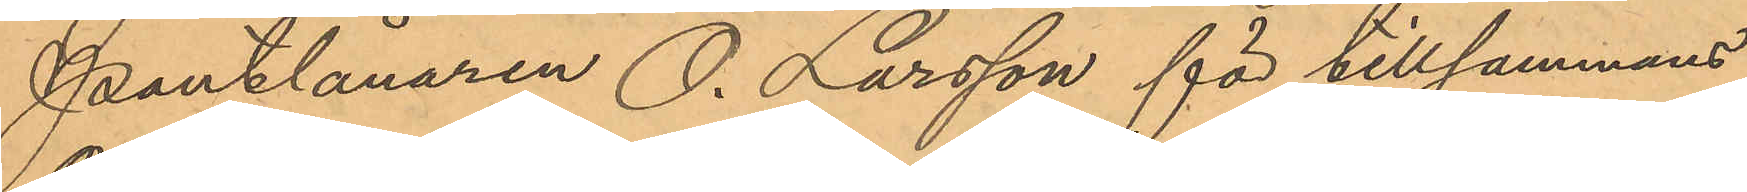Pantlånaren O. Larsson för tillsammans
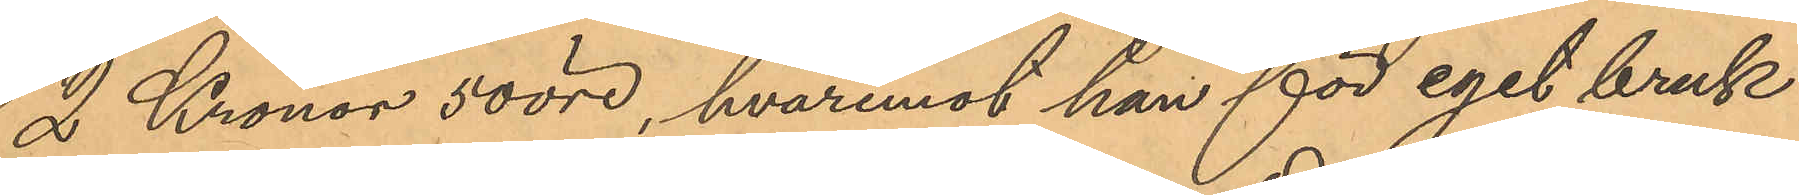2 Kronor 50 öre, hvaremot han för eget bruk
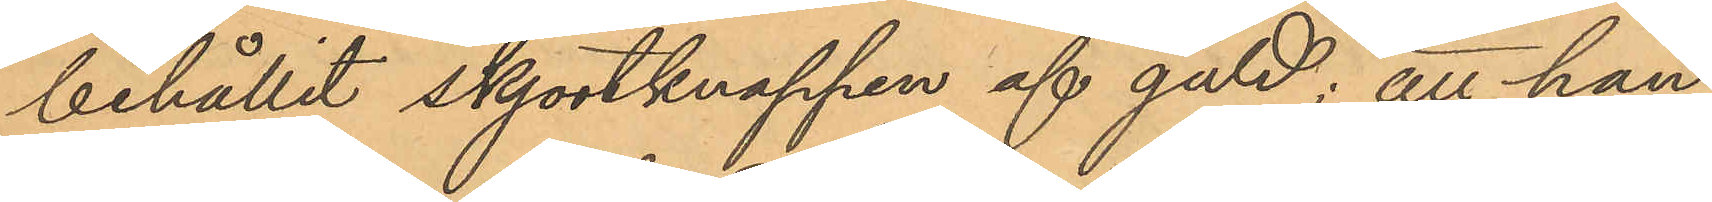behållit skjortknappen af guld; att han
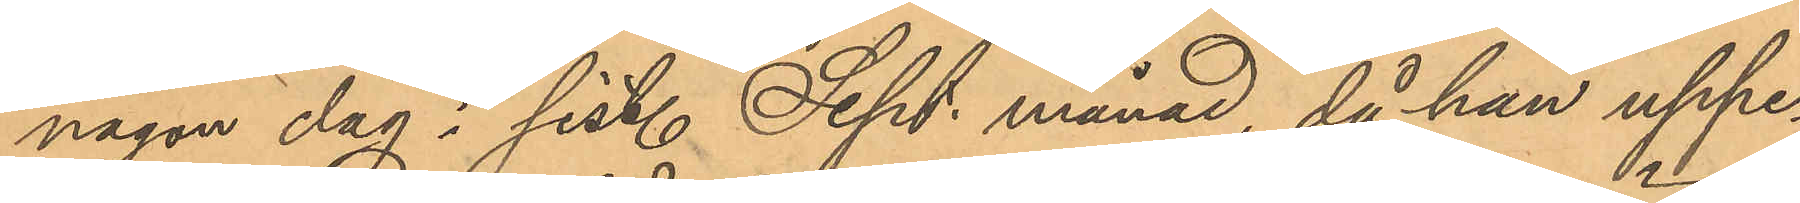någon dag i sist. Sept. månad, då han uppe¬
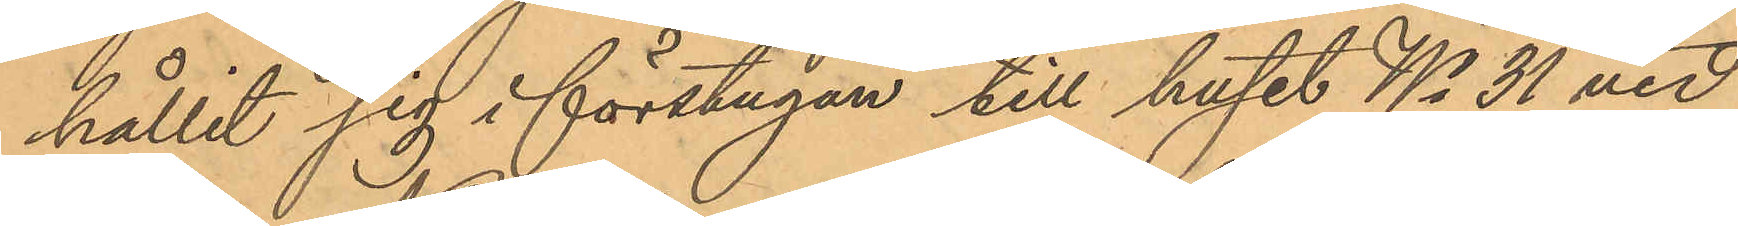hållit sig i förstugan till huset No 31 vid
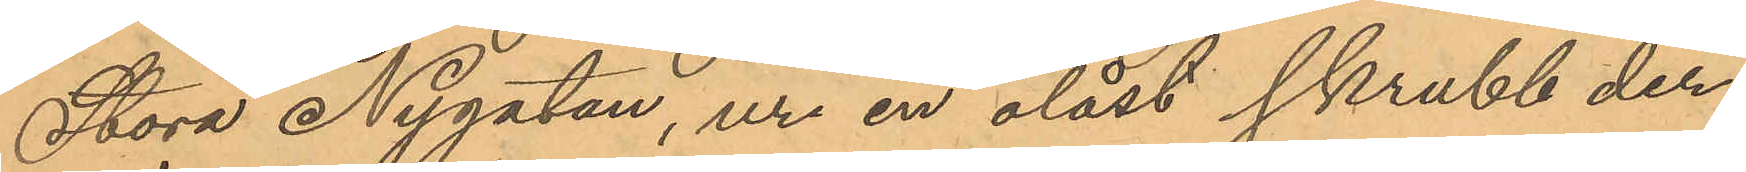Stora Nygatan, ur en olåst skrubb der¬
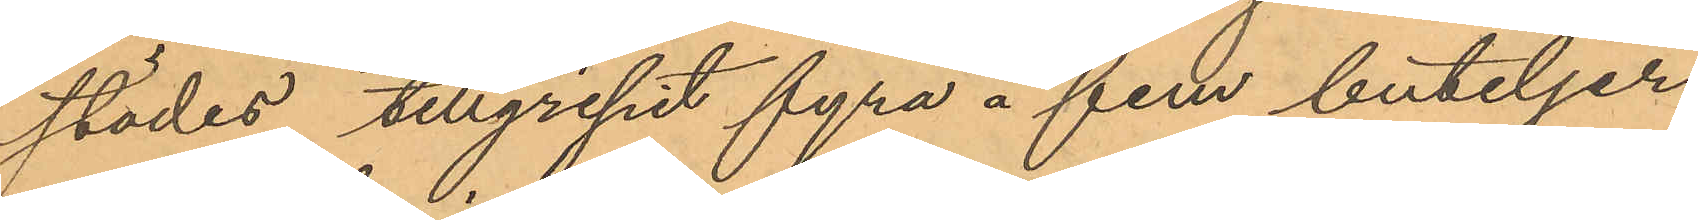städes tillgripit fyra á fem buteljer
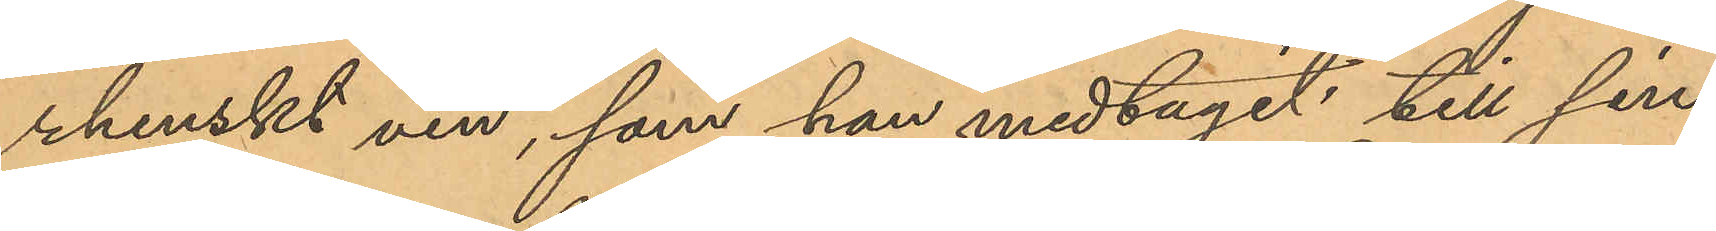rhenskt vin, som han medtagit till sin
